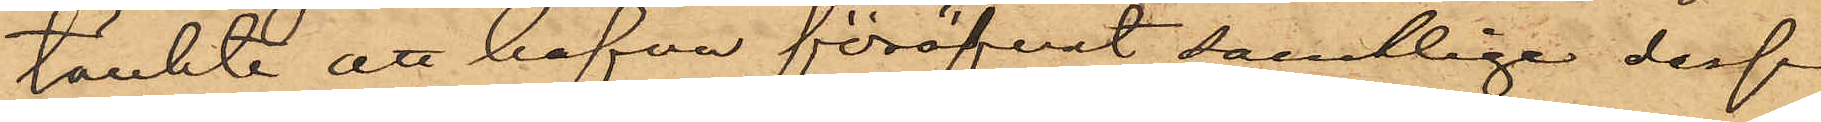tänkte att hafva föröfvat samtlige dessa
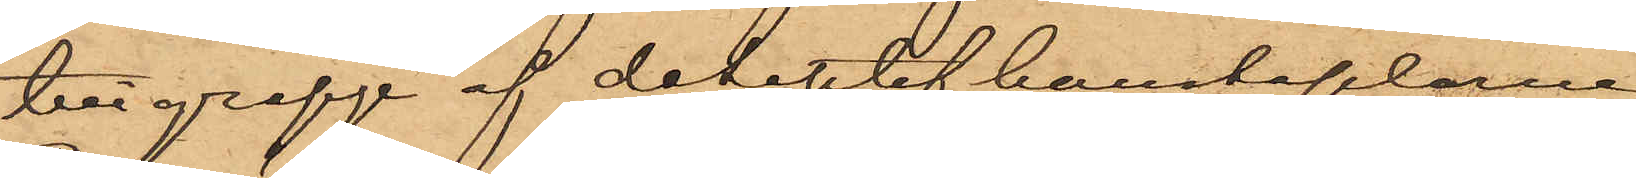tillgrepp af detektivkonstaplarne
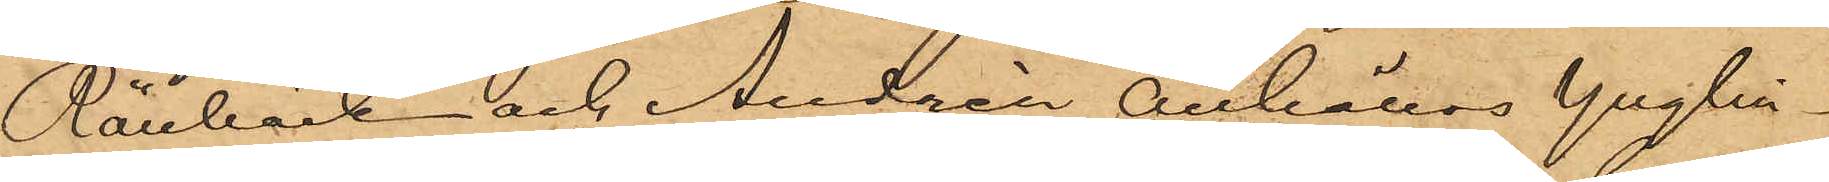Rönnbäck och Andrén anhöllos ynglin¬
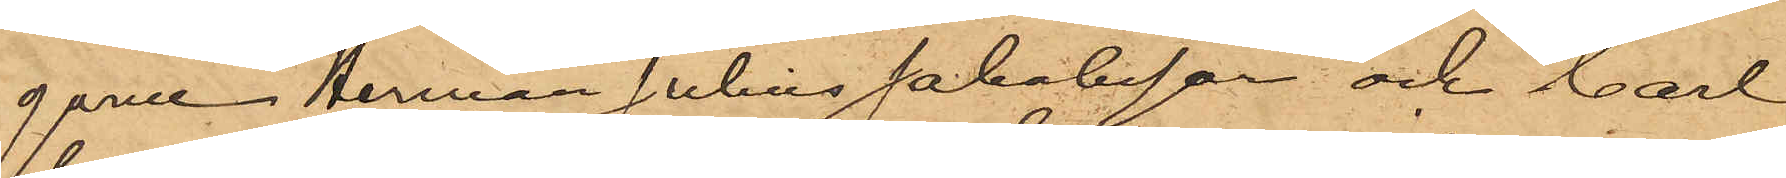garne Herman Julius Jakobsson och Carl
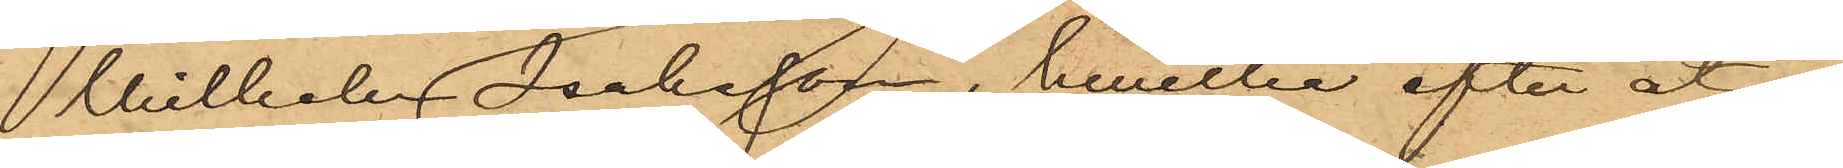Wilhelm Isaksson, hwilka efter åt¬
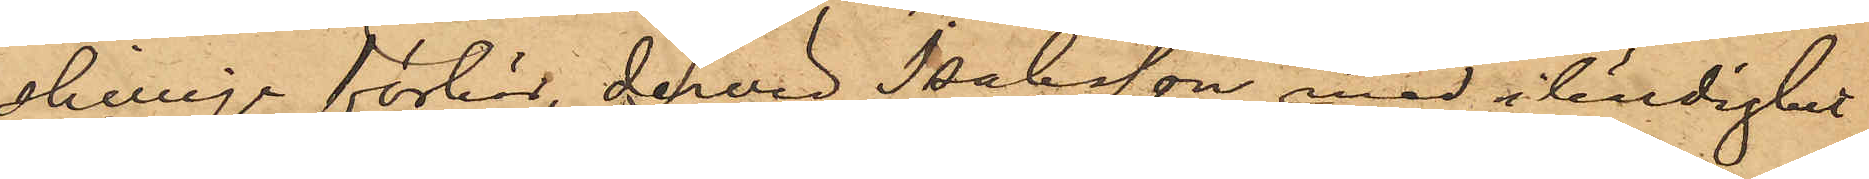skillige förhör, dervid Isaksson med ihärdighet
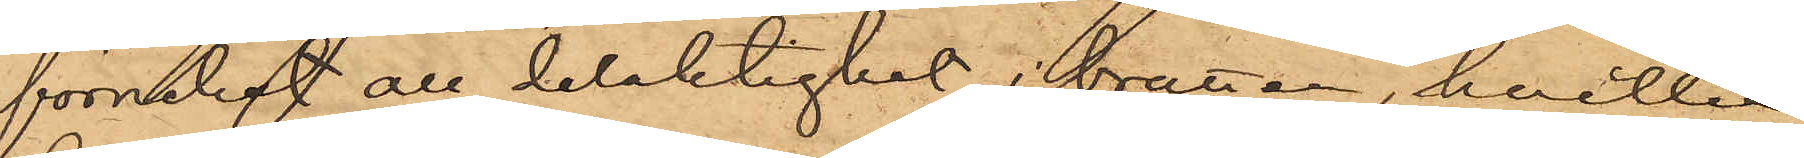förnekat all delaktighet i brotten, hvilka
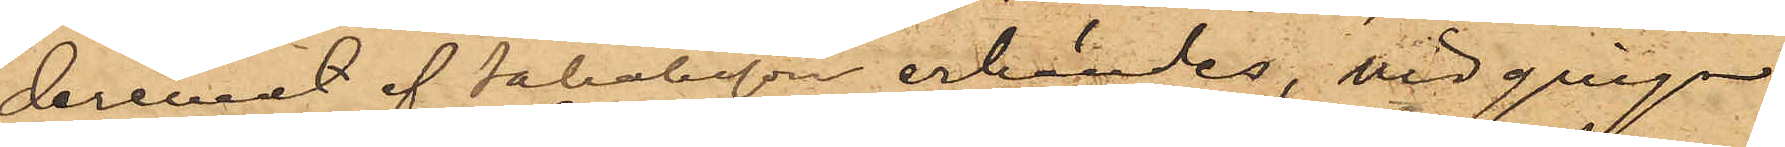deremot af Jakobsson erkändes, vidgingo
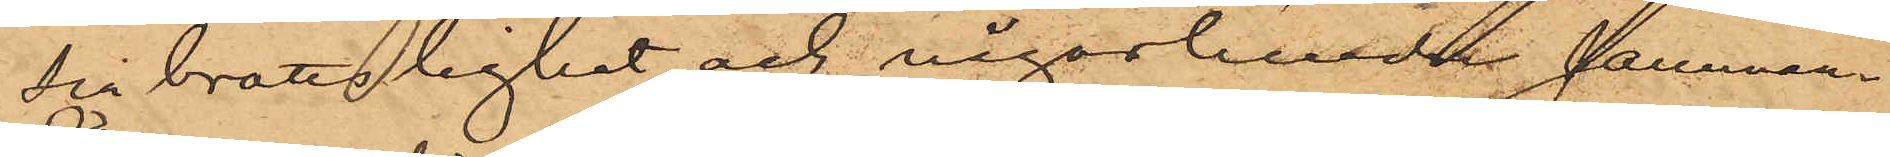sin brottslighet och någorlunda samman¬
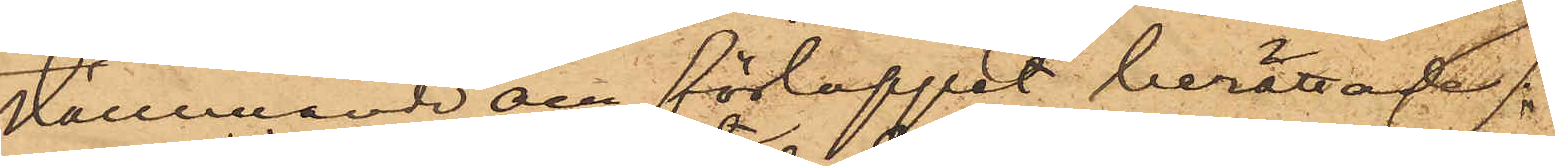stämmmande om förloppet berättade: 
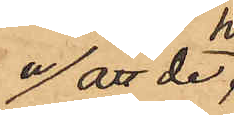a/ att de,
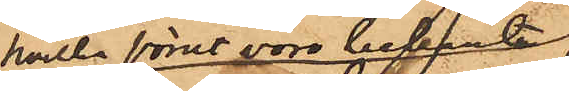hvilka förut voro bekanta,
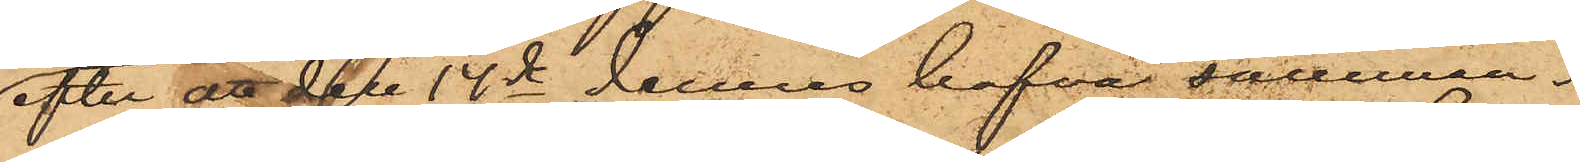efter att  den 14de dennes hafva samman¬
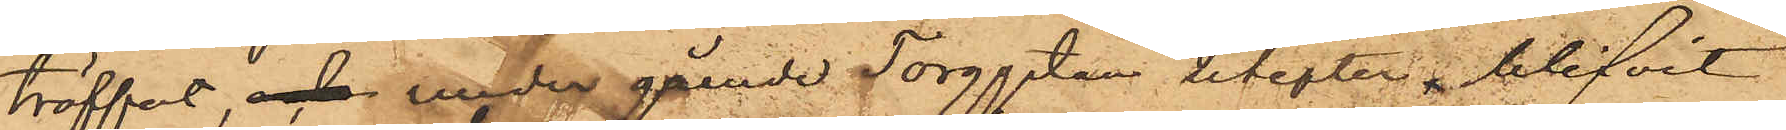träffat, och under gående Torggatan utefter, blifvit
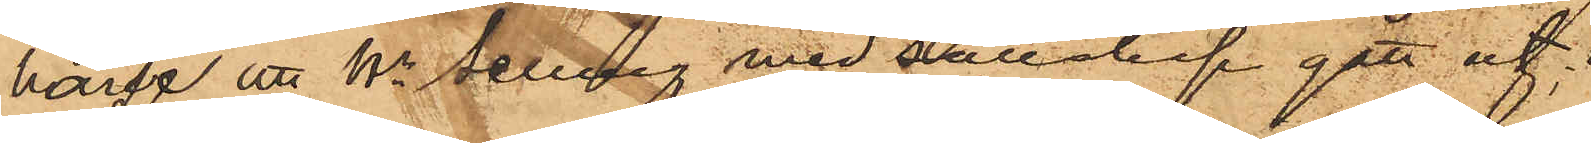hvarse att Hr. Selling med sällskap gått ut;
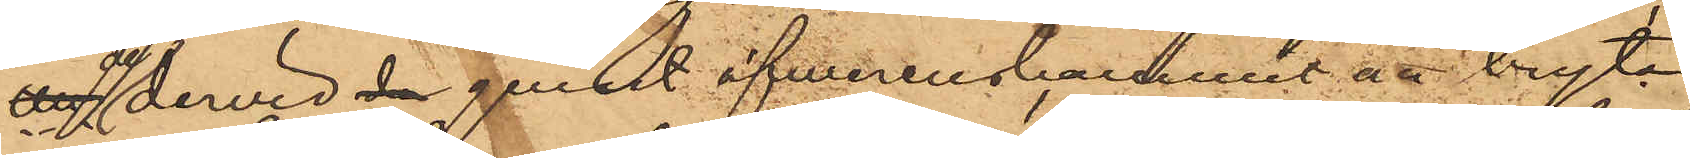att de dervid de genast öfverenskommit att bryta
